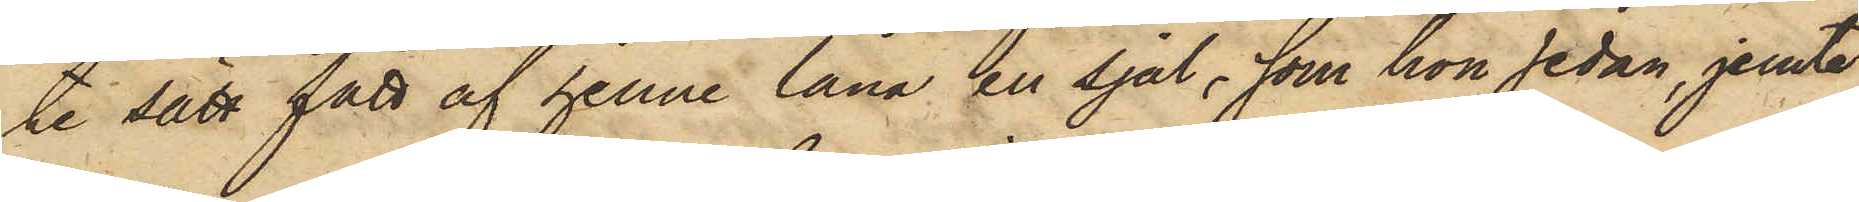te sätt fått af henne låna en sjal, som hon sedan, jemte
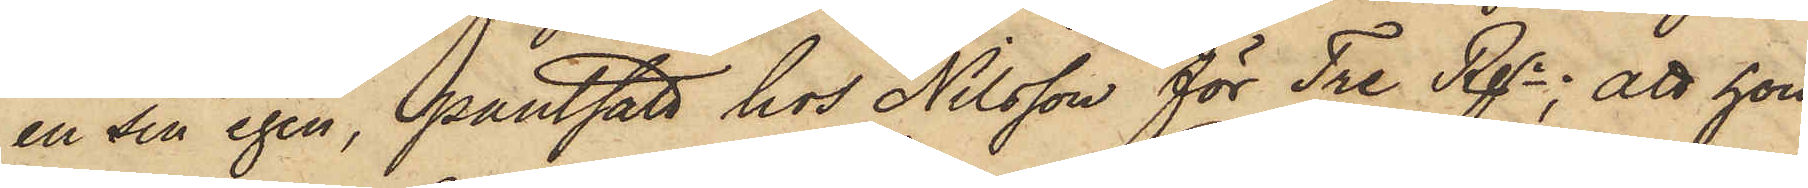en sin egen, pantsatt hos Nilsson för Tre Rgr; att hon
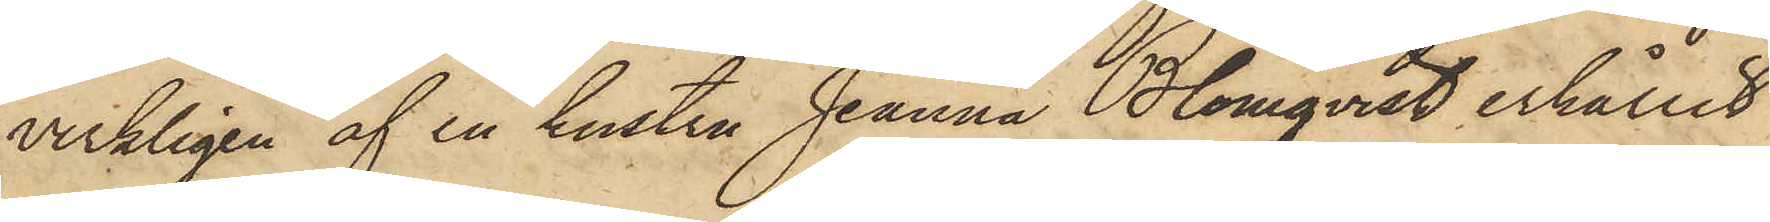verkligen af en hustru Jeanna Blomqvist erhållit
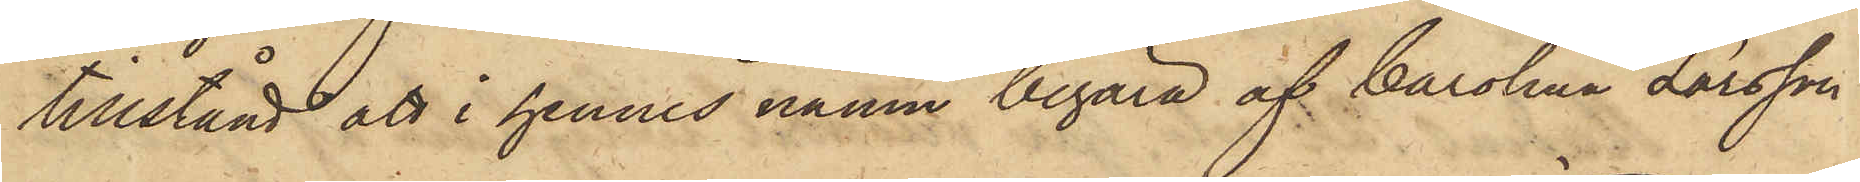tillstånd att i hennes namn begära af Carolina Larsson
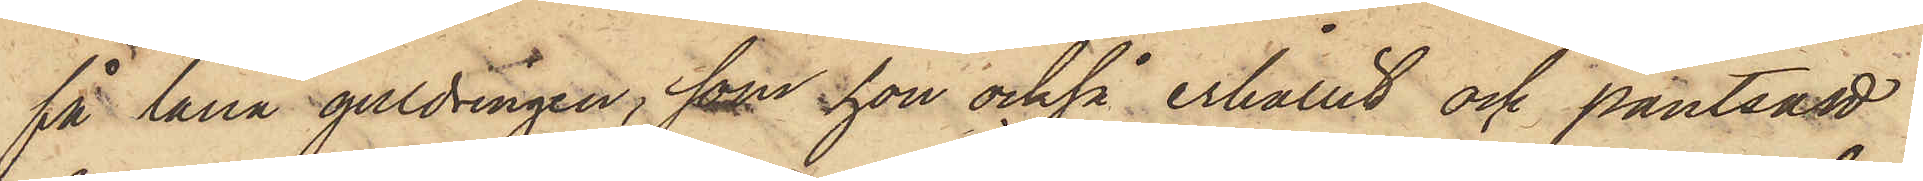få låna guldringen, som hon också erhållit och pantsatt
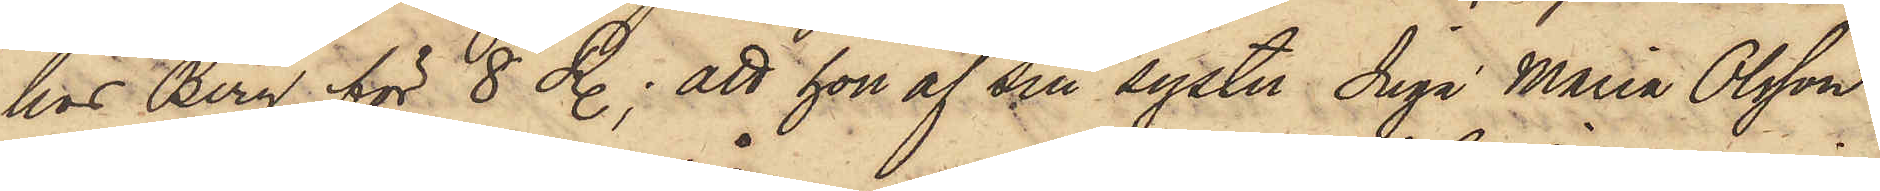hos Berg för 8 R.; att hon af sin syster Inga Maria Olsson,
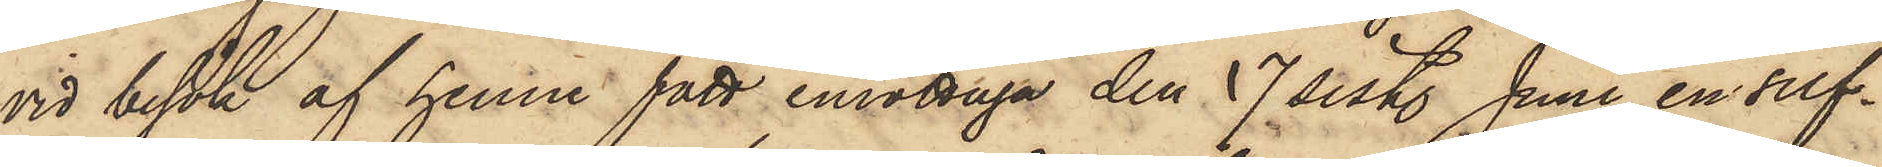vid besök af henne fått emottaga den 17 sist. Juni en silf¬
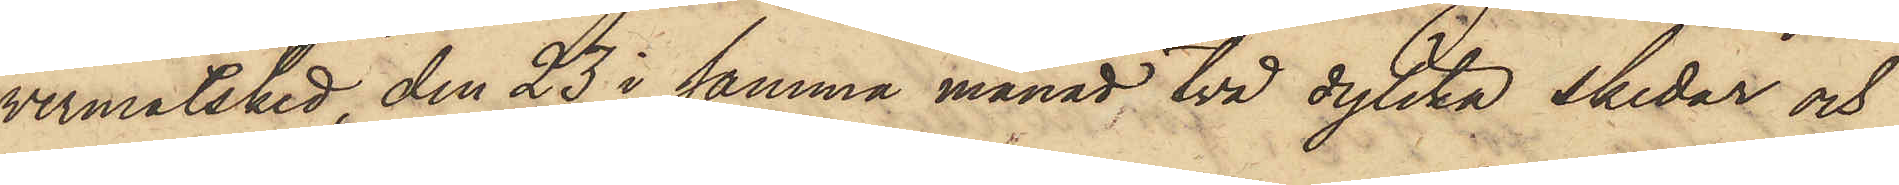vermatsked, den 23 i samma månad två dylika skedar och
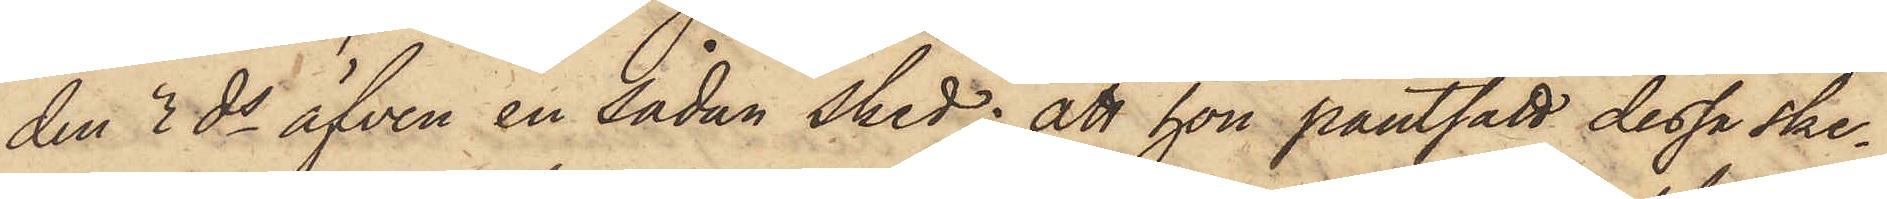den 3 ds äfven en sådan sked; att hon pantsatt dessa ske¬
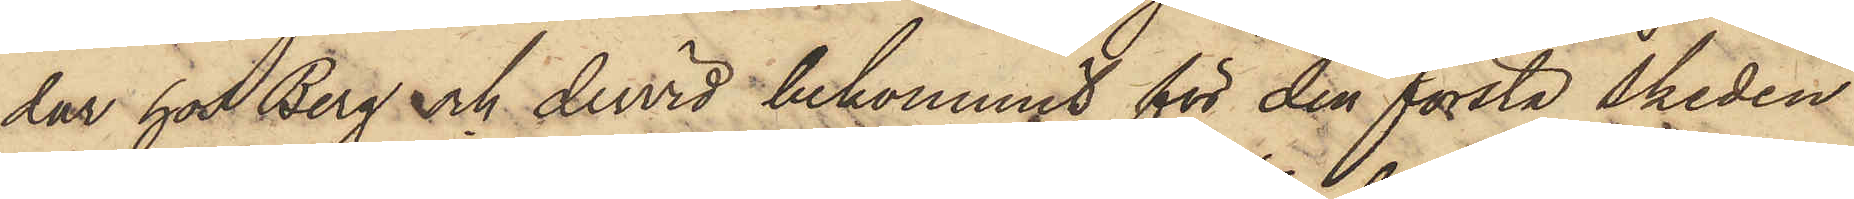dar hos Berg och dervid bekommit för den första skeden
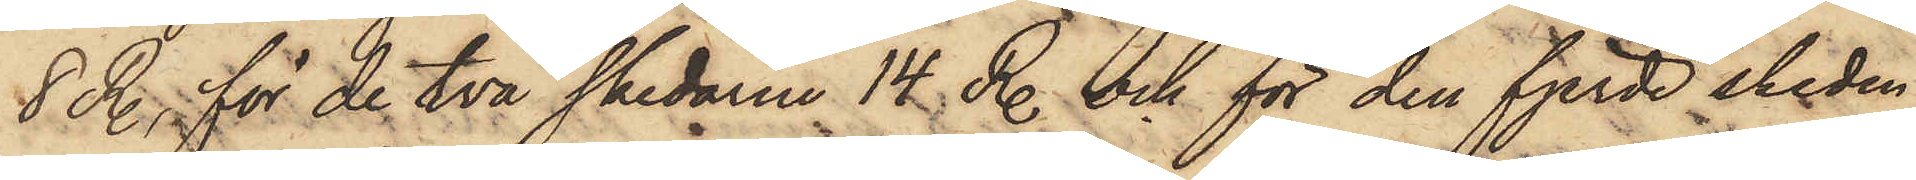8 R., för de två skedarne 14 R. och för den fjerde skeden
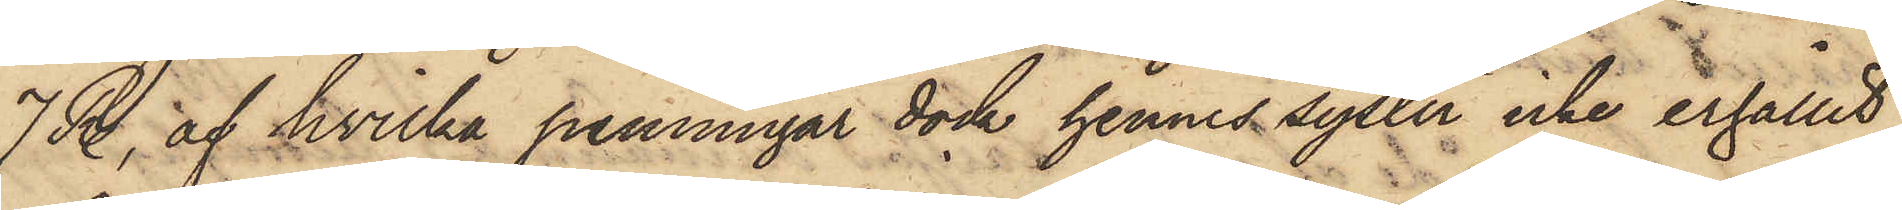7 R., af hvilka penningar dock hennes syster icke erhållit
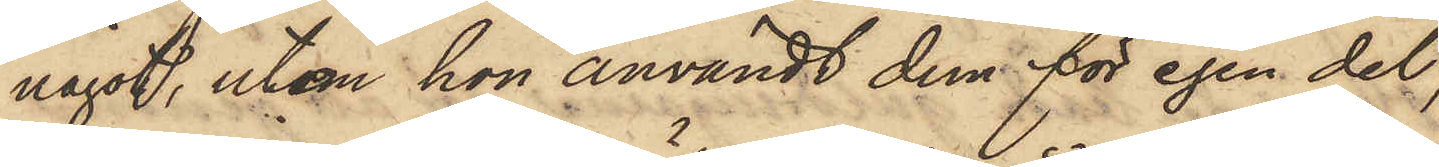något, utan hon användt dem för egen del,
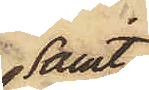samt
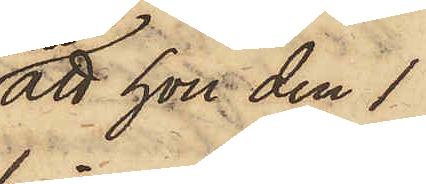att hon den 1
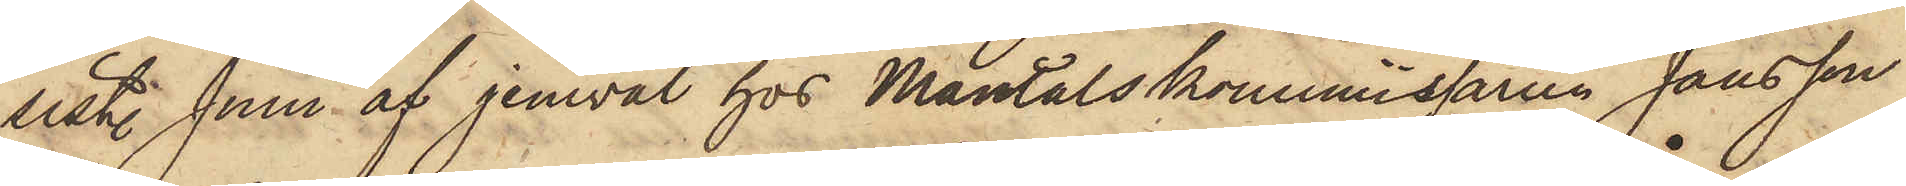sist. Juni af jemväl hos Mantalskommissaren Jansson
